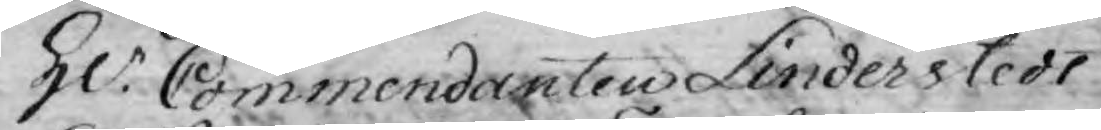Hr. Commendanten Linderstedt
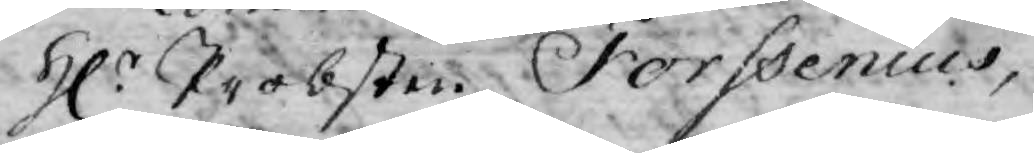Hr. Probsten Forssenius,
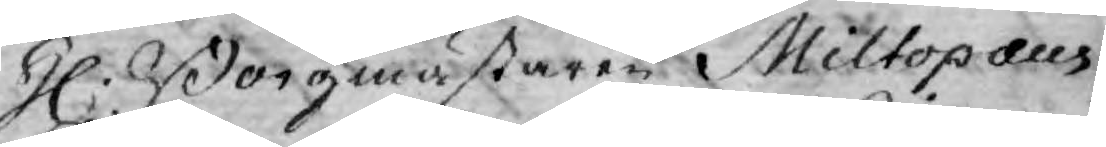H. Borgmästaren Miltopæus,
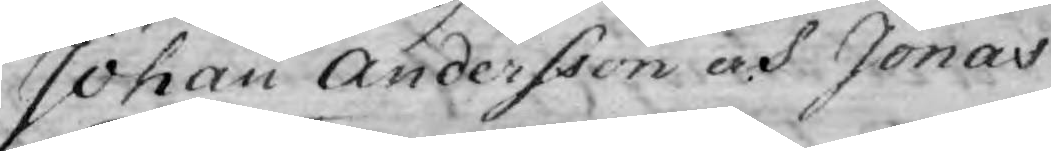Johan Andersson och Jonas
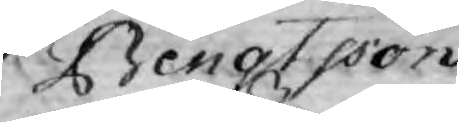Bengtsson.
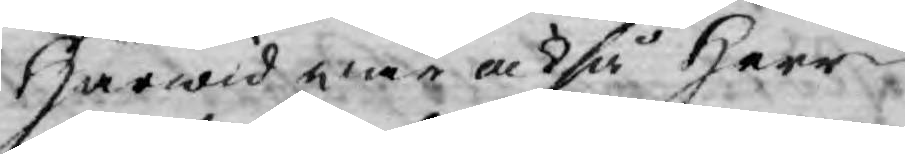Härwid war också Herr
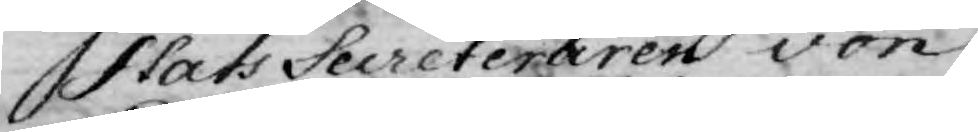Stats Secreteraren von
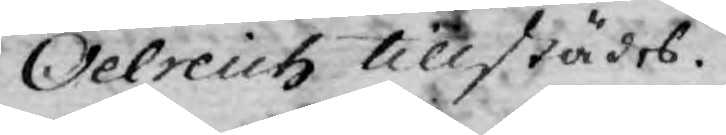Oelreich tillstädes.
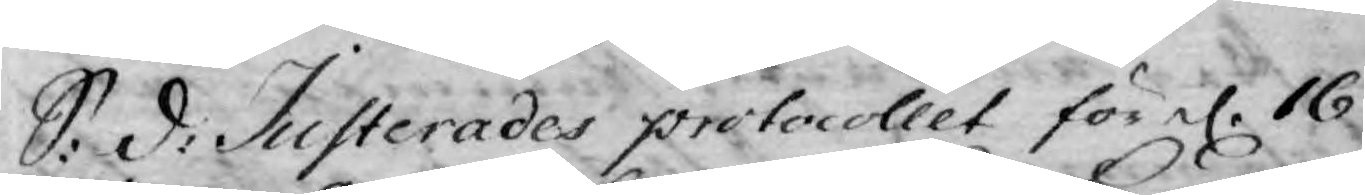S: d: Justerades protocollet för d. 16
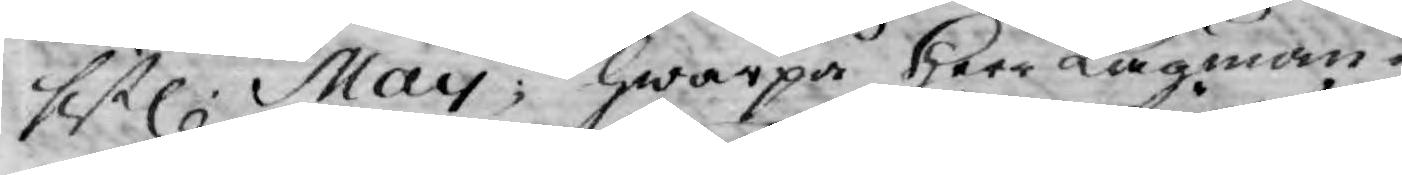sistl: May; hwarpå Herr Lagman¬
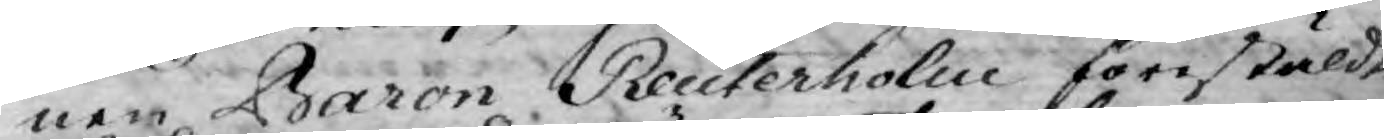nen Baron Reuterholm förestäldte
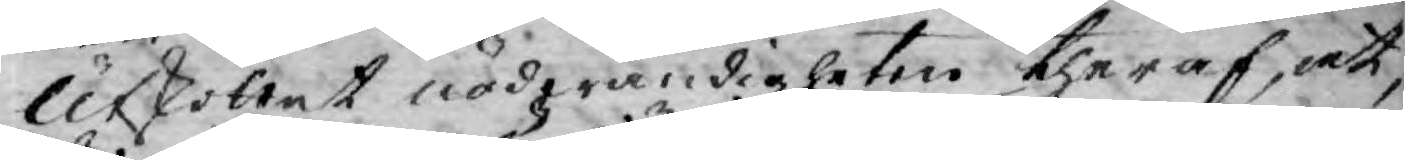Utskottet nödwändigheten theraf, at,
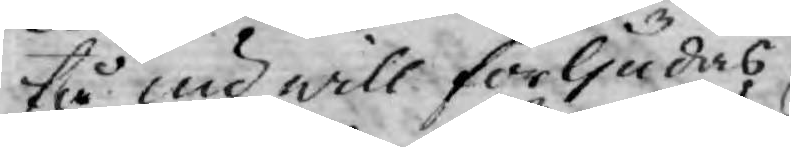tå nu will förljudas
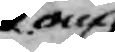om
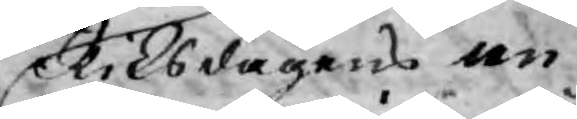Riksdagens an¬
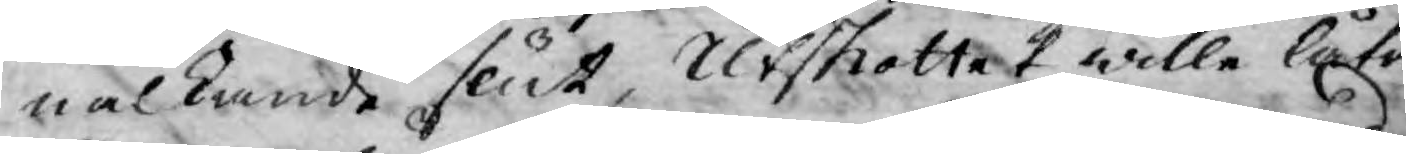alkande slut, Utskottet wille låta
